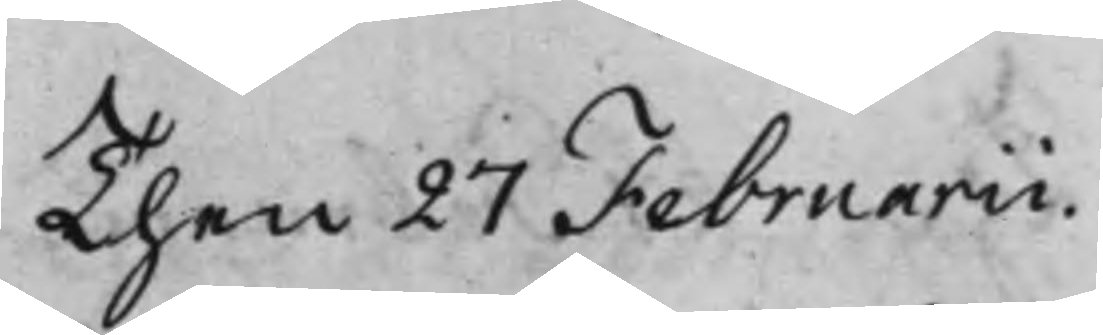Then 27 Februarii.
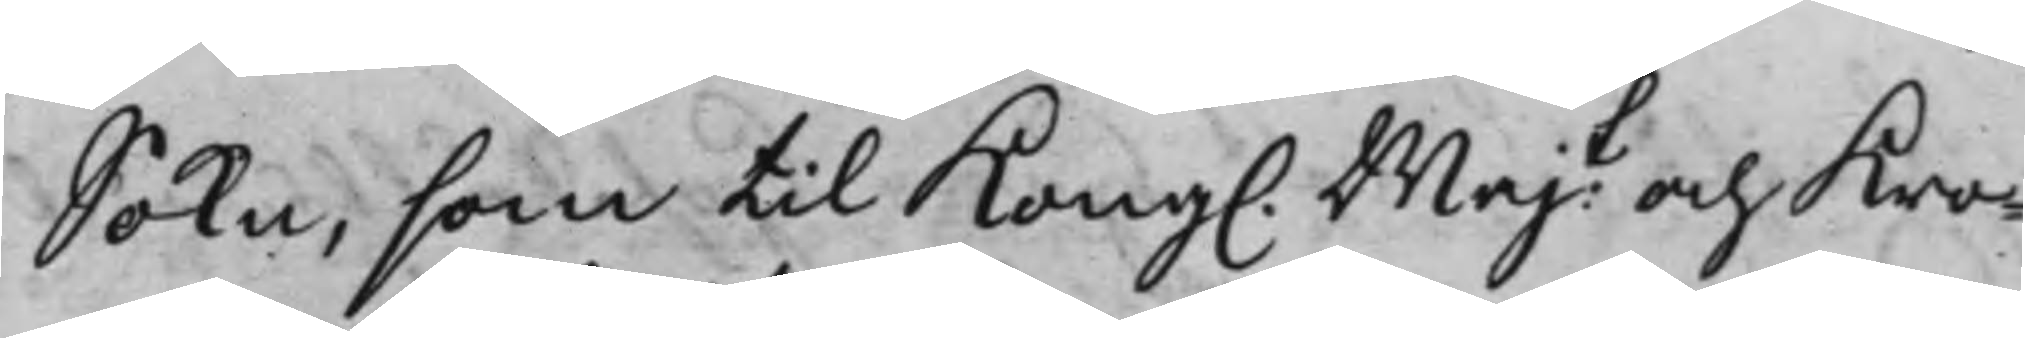Sokn, som til Kong. Majt och Kro¬
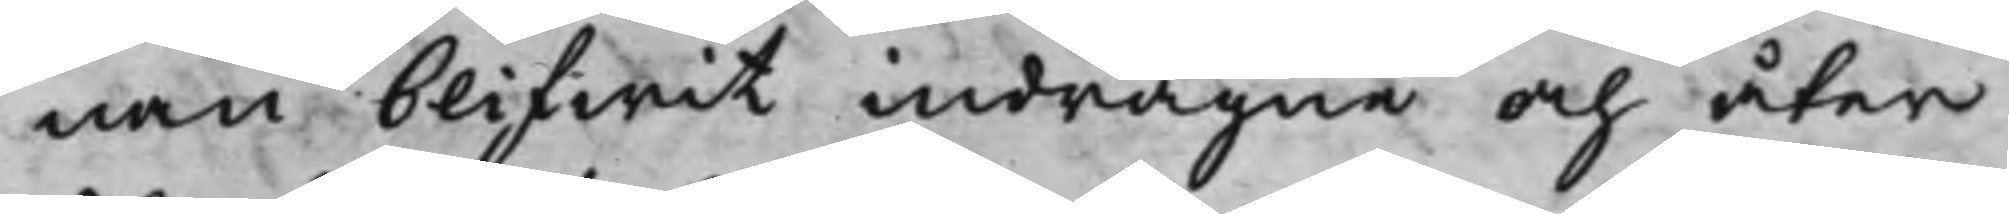nan blifwit indragne och åter
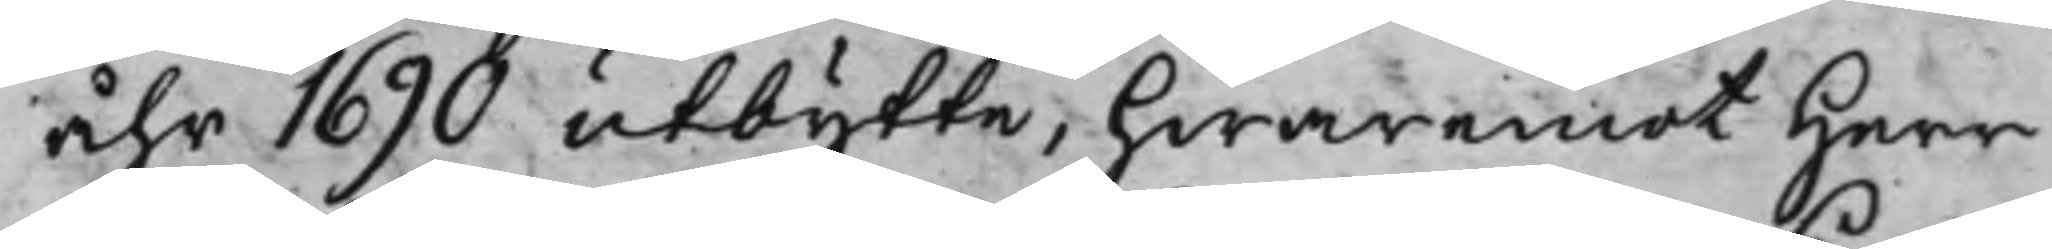åhr 1690 utbytte, hwaremot Herr
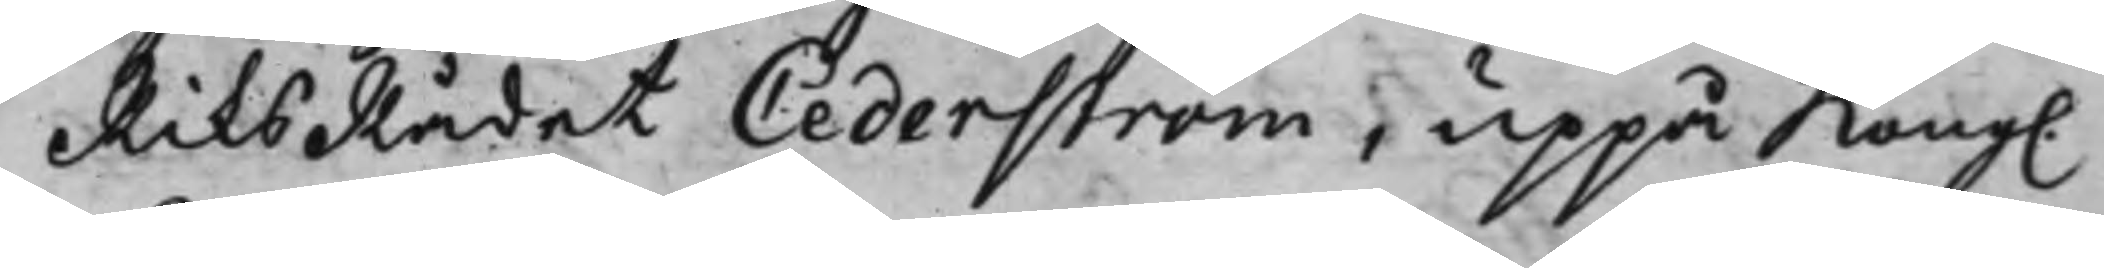RiksRådet Cederström, uppå Kong.
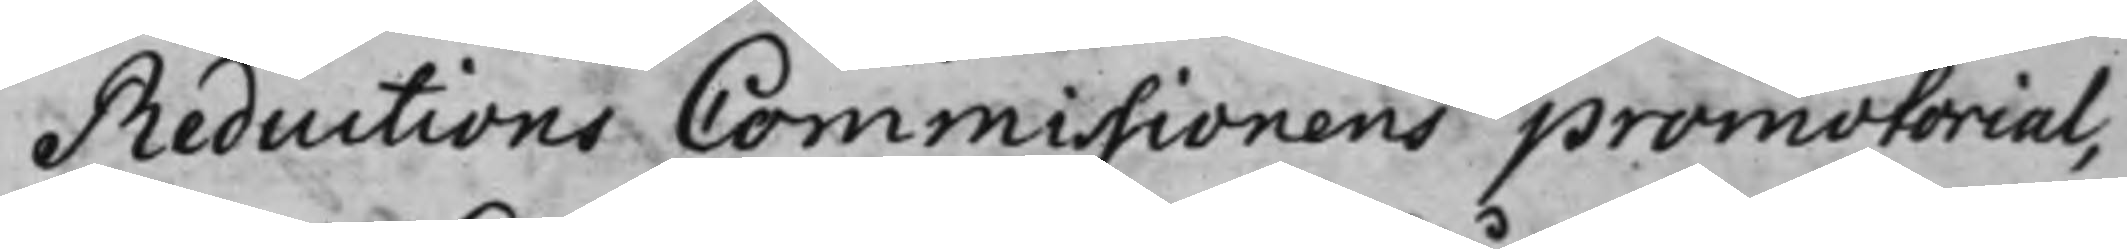ReductionsCommissionens promotorial,
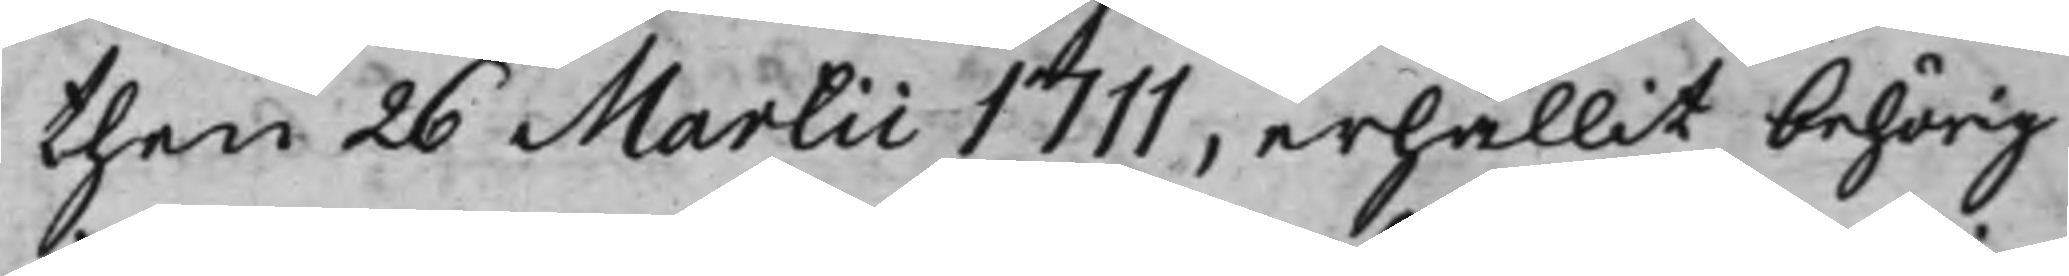then 26 Martii 1711, erhållit behörig
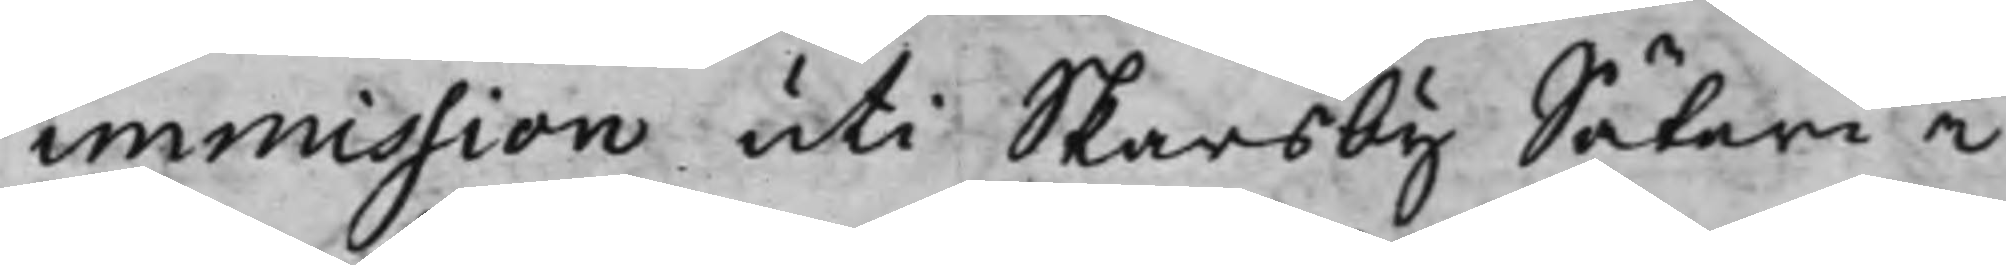immission uti Skarsby Säteri i
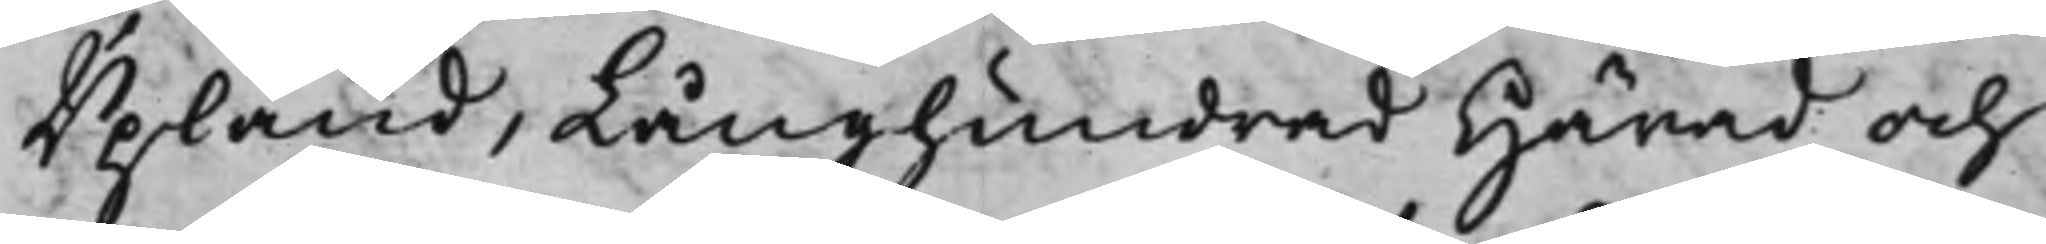Upland, Långhundrad Härad och
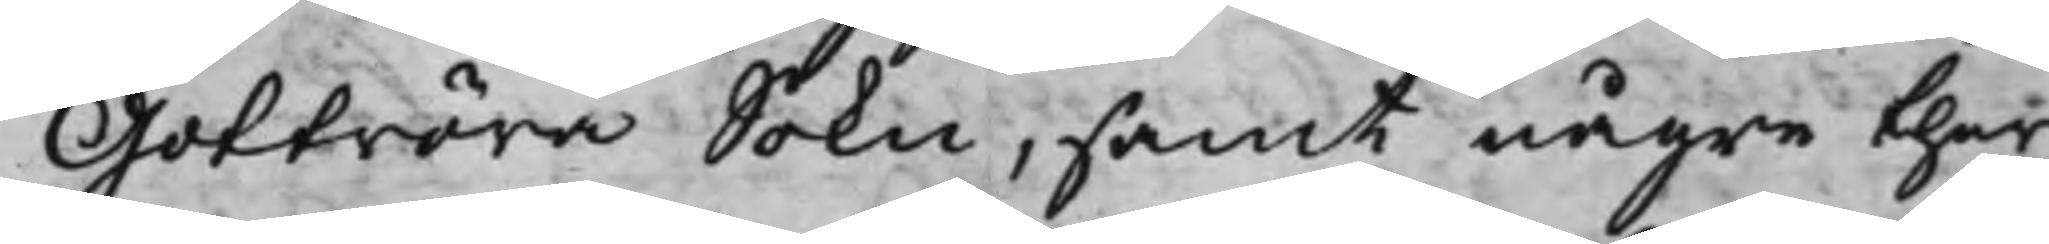Gottröra Sokn, samt någre ther
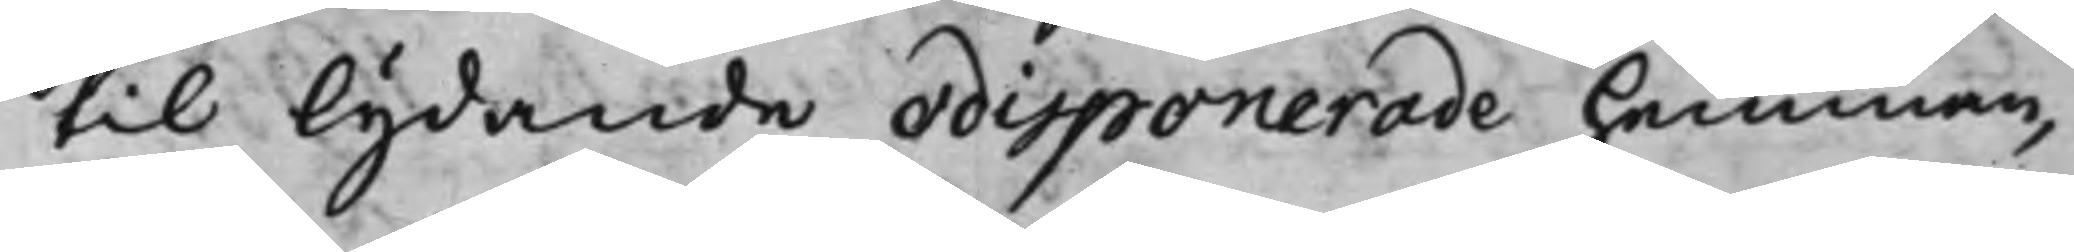til lydande odisponerade hemman,
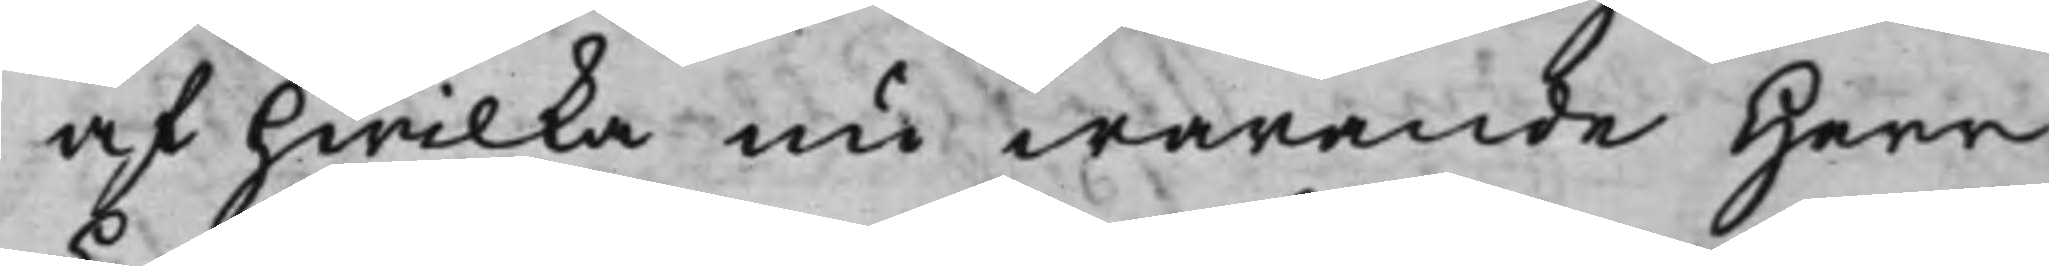af hwilka nu warande Herr
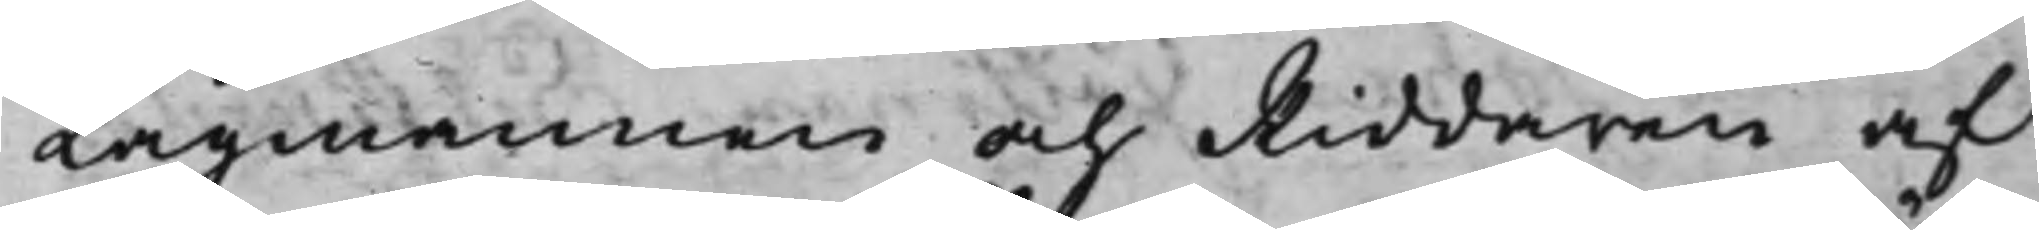Lagmannen och Riddaren af
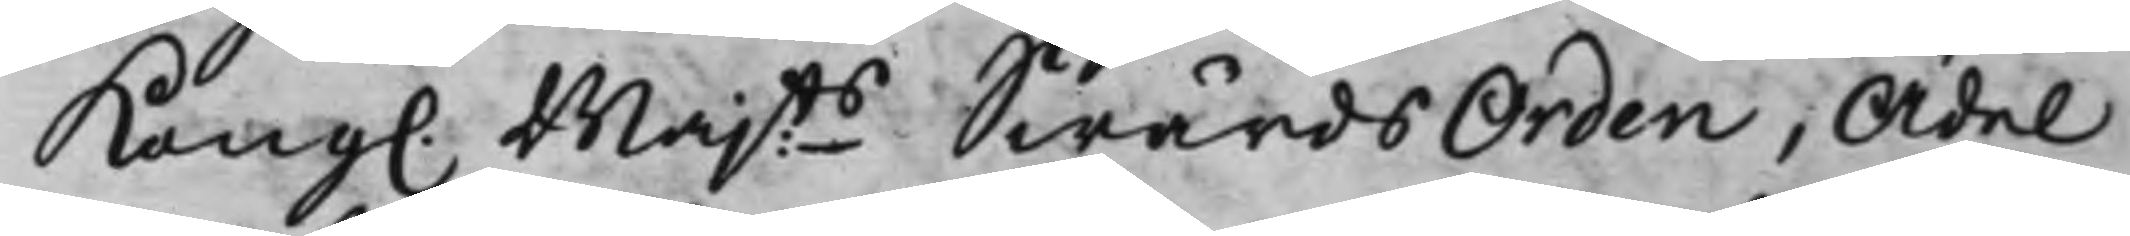Kong. Majts SwärdsOrden, Ädel
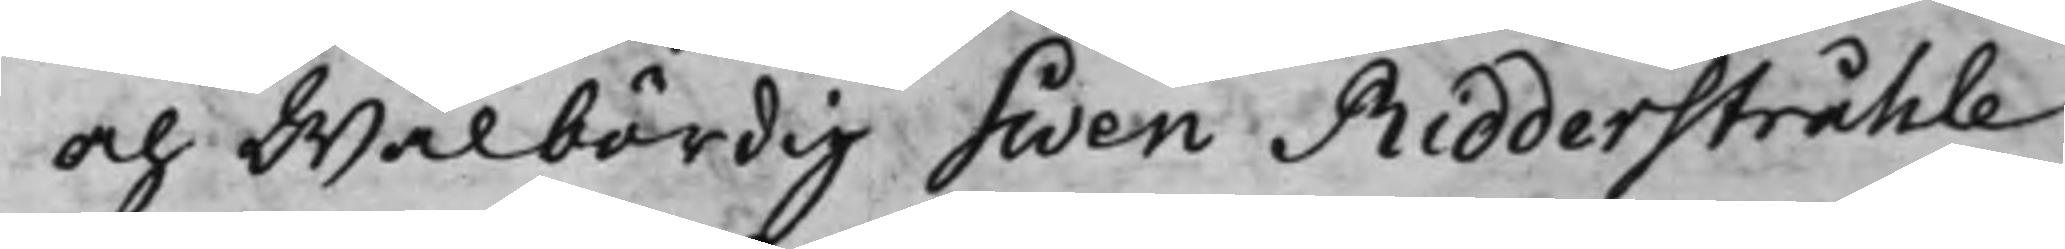och Wälbördig Swen Ridderstråhle
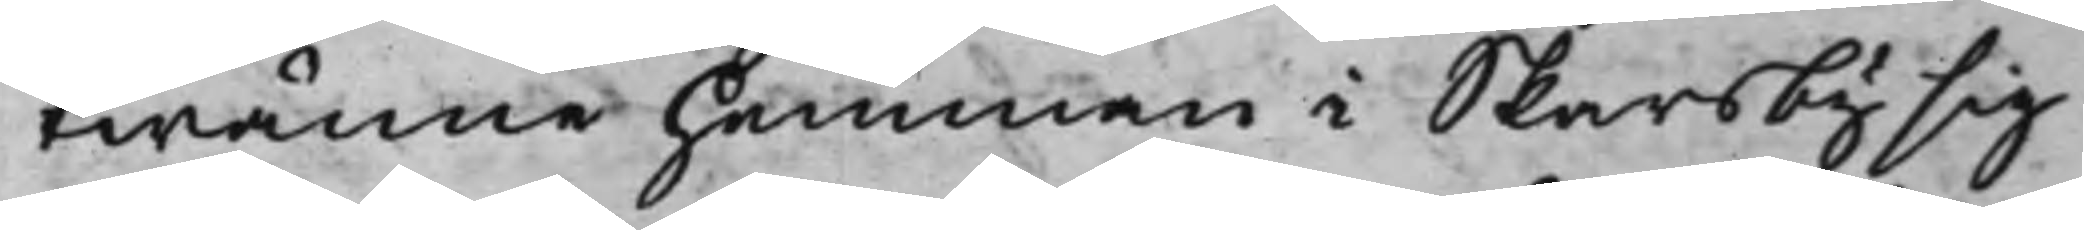twänne hemman i Skarsby sig
